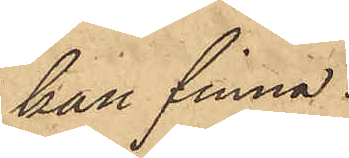kan finna.
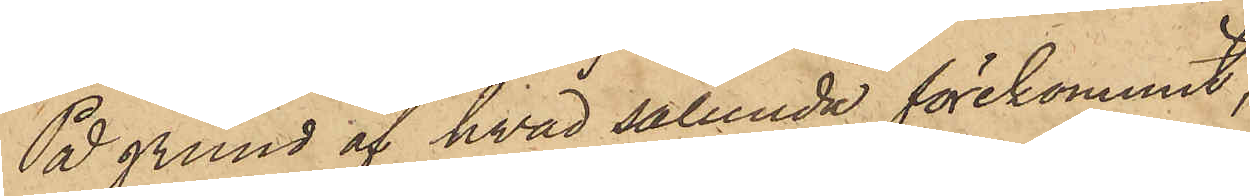På grund af hvad sålunda förekommit,
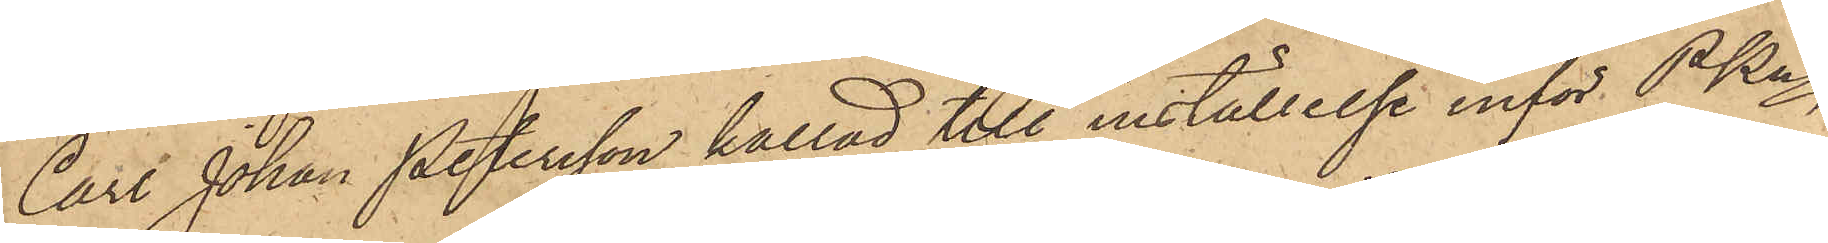Carl Johan Petersson kallad till inställelse inför PKn
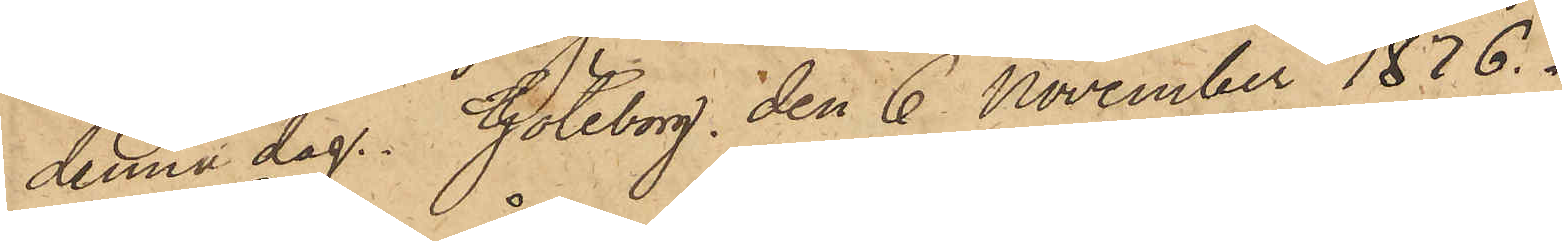denna dag. Göteborg den 6 November 1876.
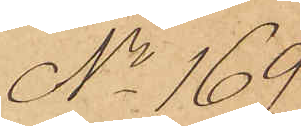No 169
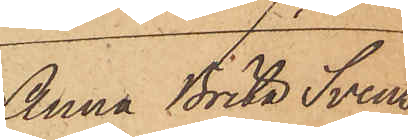Anna Brita Svens¬
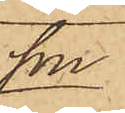son
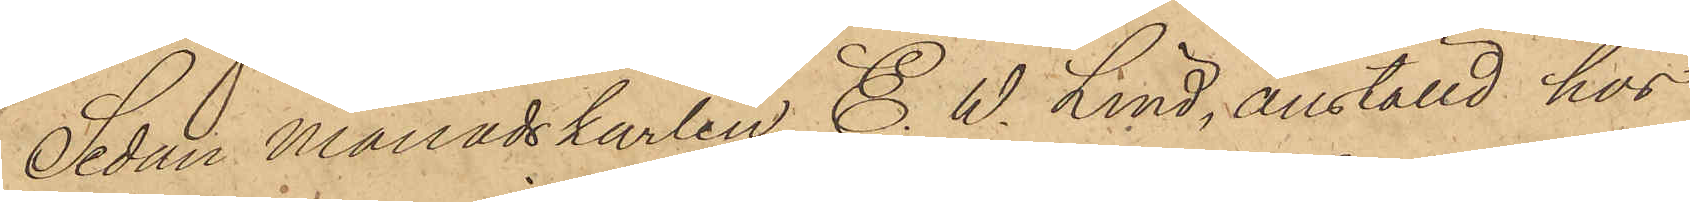Sedan Månadskarlen E. W. Lind, anställd hos
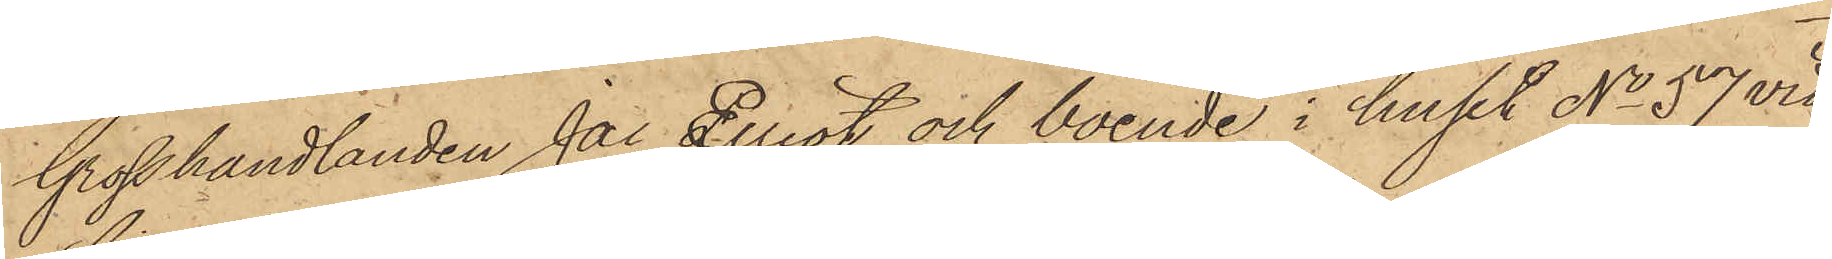Grosshandlanden Jac. Elliot och boende i huset No 57 vid
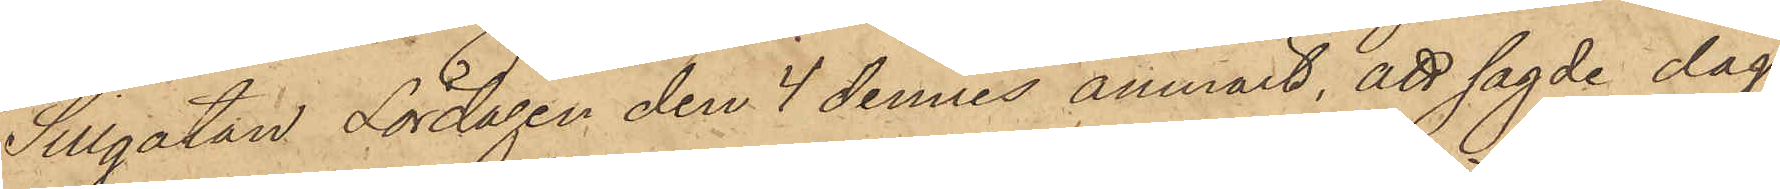Sillgatan Lördagen den 4 dennes anmält, att sagde dag
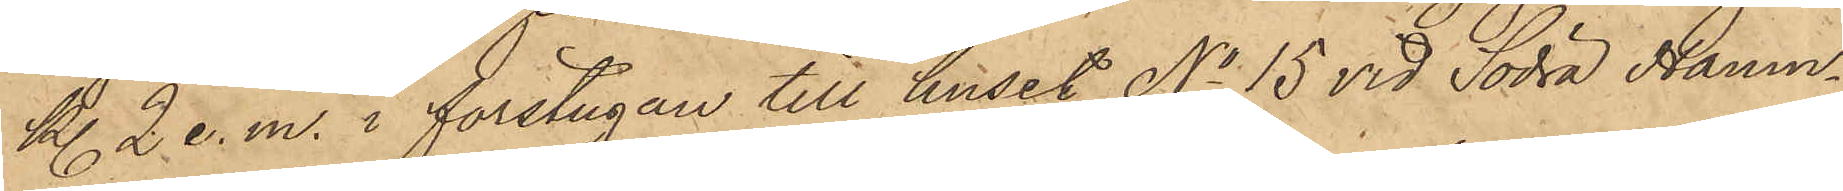Kl. 2 e. m. i förstugan till huset No 15 vid Södra Hamn¬
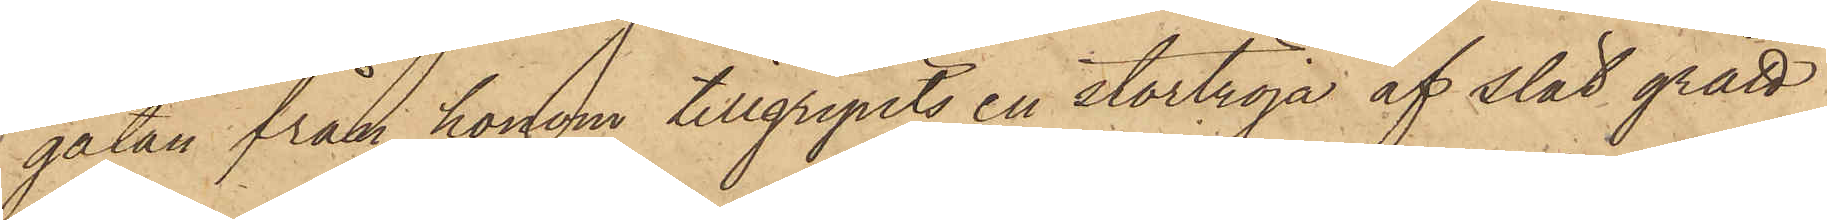gatan från honom tillgripits en stortröja af slät grått
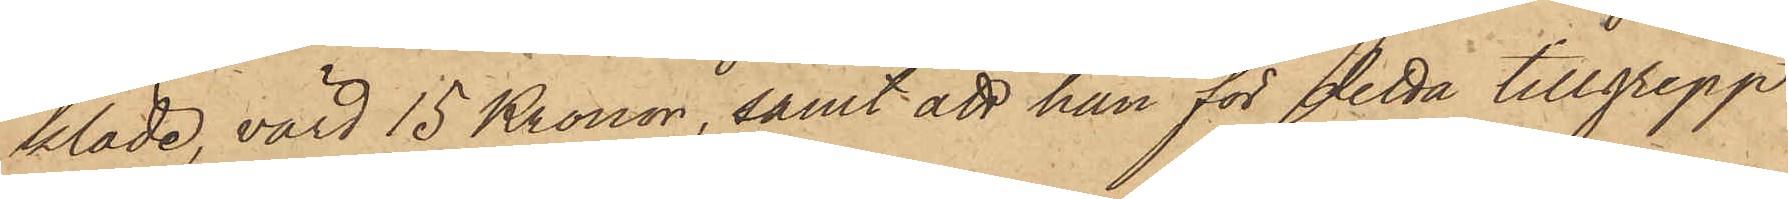kläde, värd 15 Kronor, samt att han för detta tillgrepp
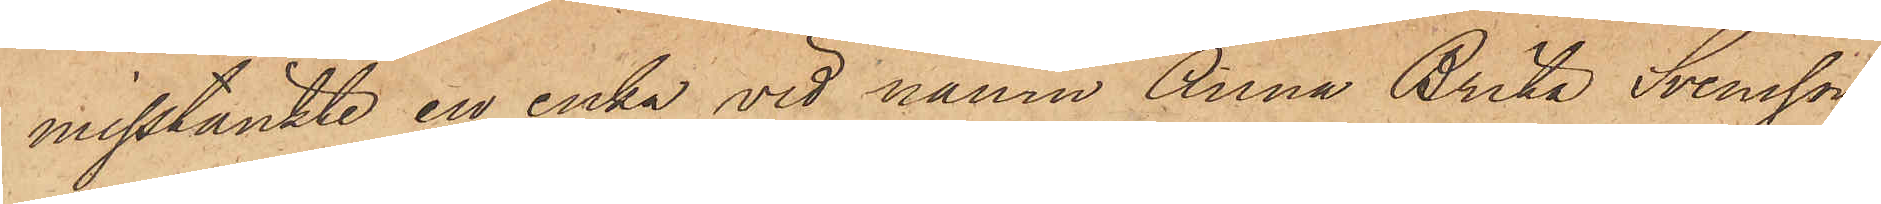misstänkte en enka vid namn Anna Brita Svensson,
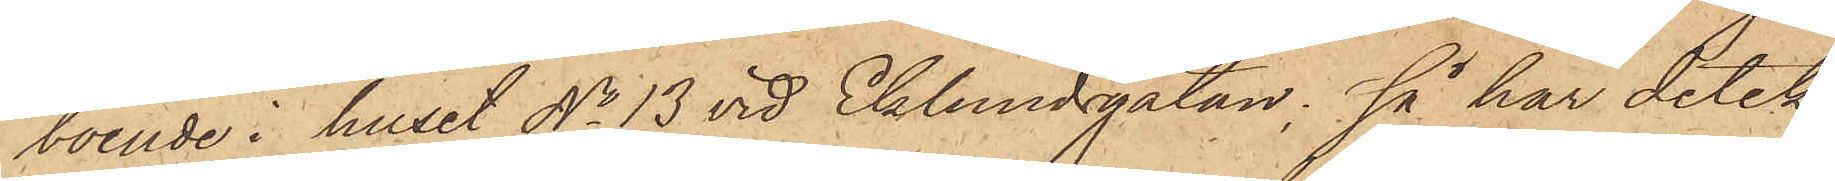boende i huset No 13 vid Eklundsgatan; så har detek¬
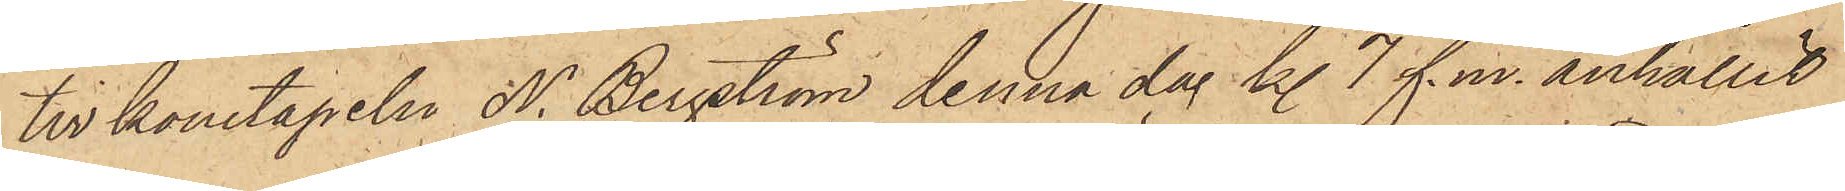tivkonstapeln N. Bergström denna dag kl. 7 f. m. anhållit
